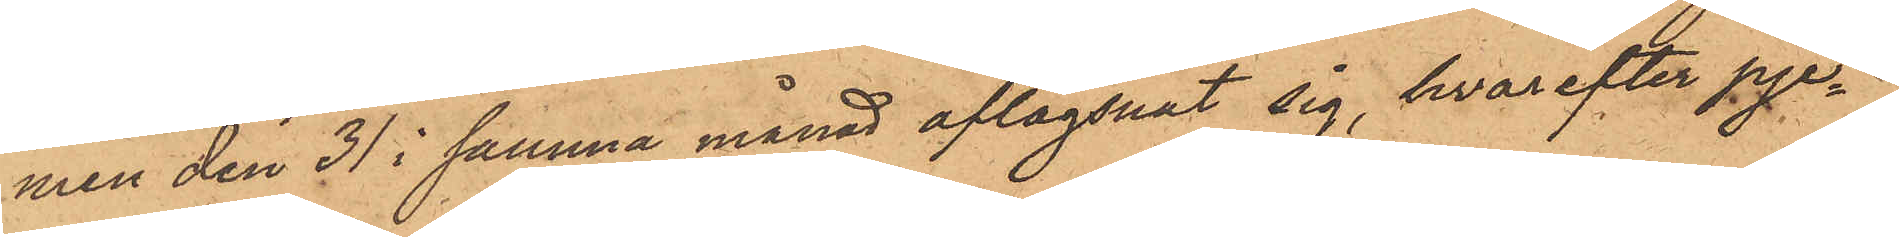men den 31 i samma månad aflägsnat sig, hvarefter pje¬
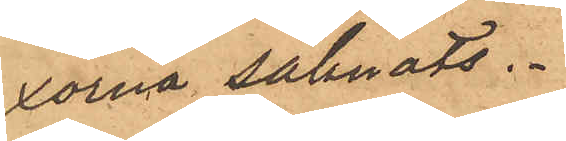xorna saknats.
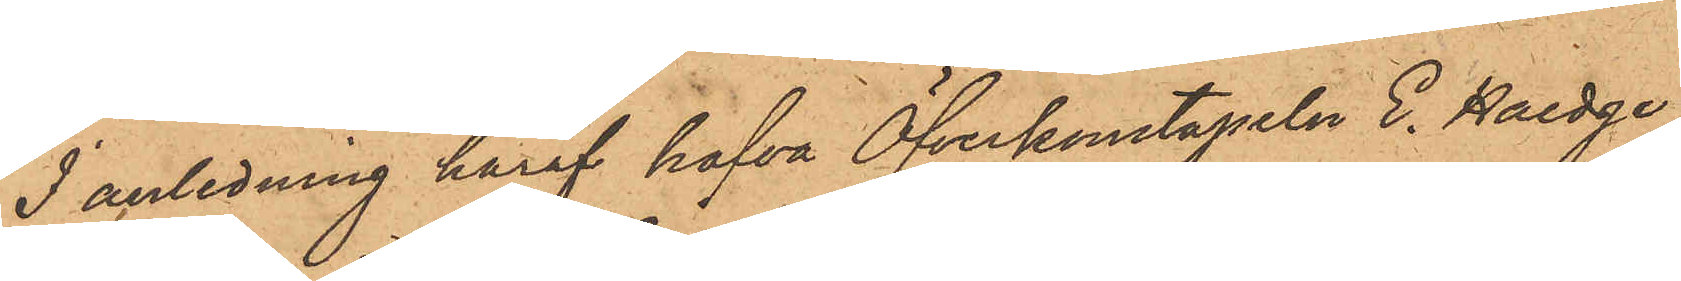I anledning häraf hafva Öfverkonstapeln E. Haedge
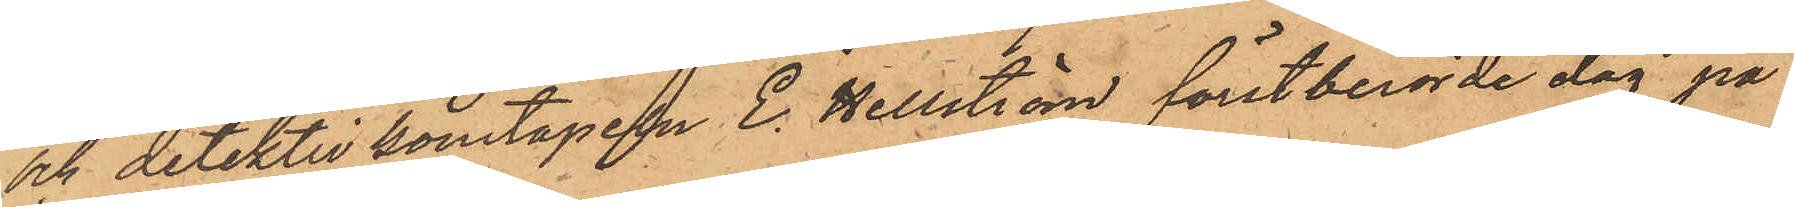och detektivkonstapeln E. Hellström förstberörde dag på
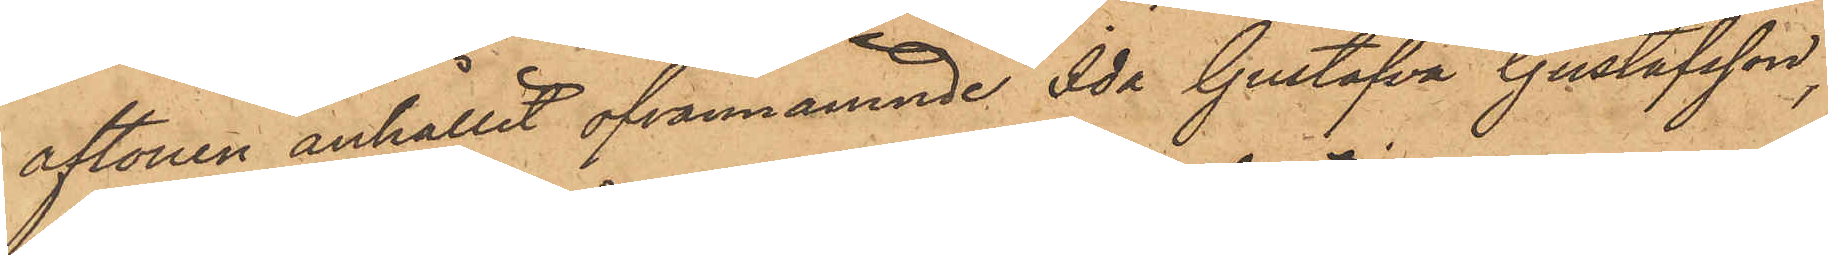aftonen anhållit ofvannämnde Ida Gustafva Gustafsson,
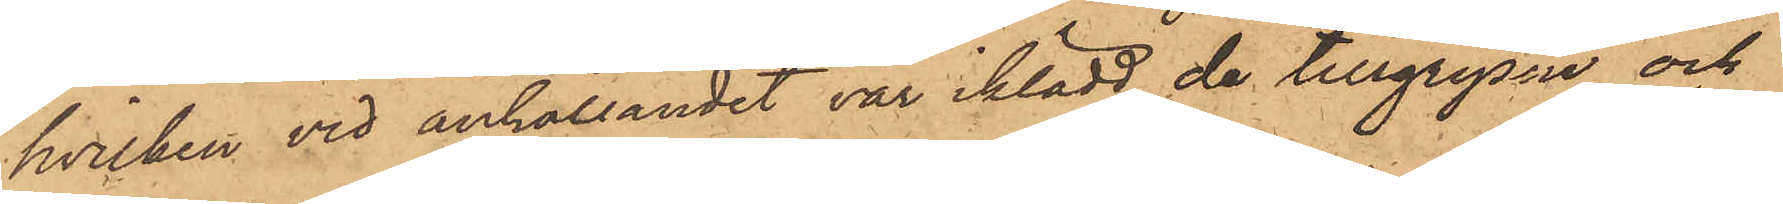hvilken vid anhållandet var iklädd de tillgripne och
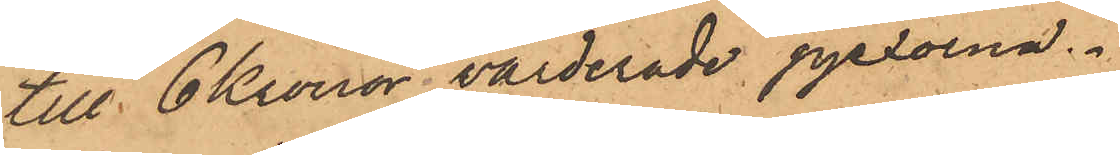till 6 Kronor värderade pjexorna.
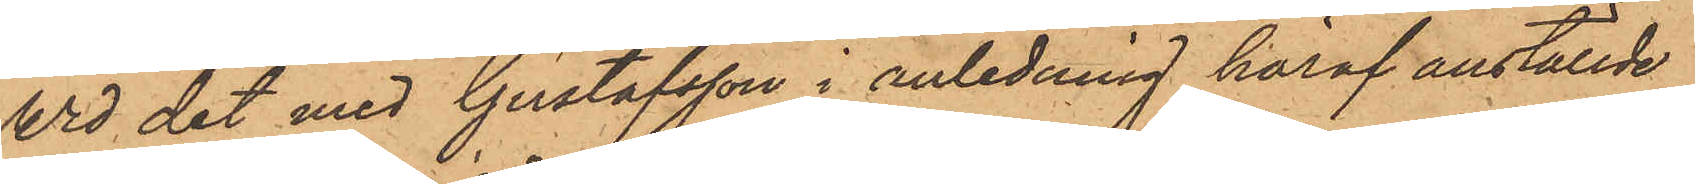Wid det med Gustafsson i anledning häraf anställde
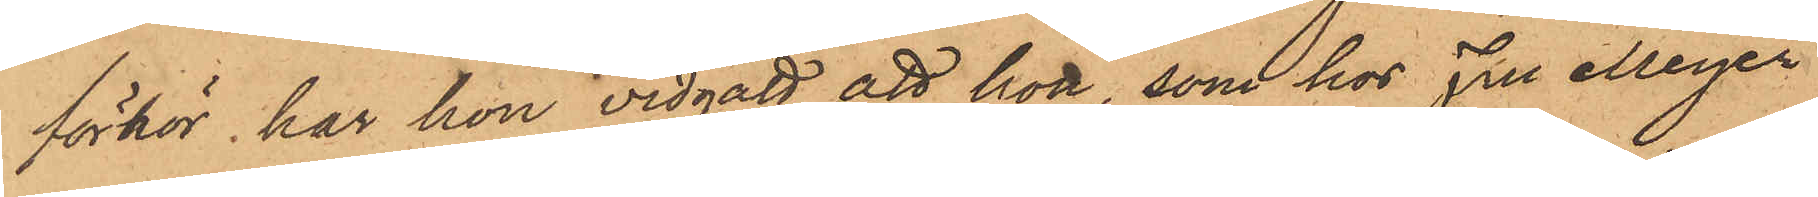förhör, har hon vidgått att hon, som hos Fru Meyer
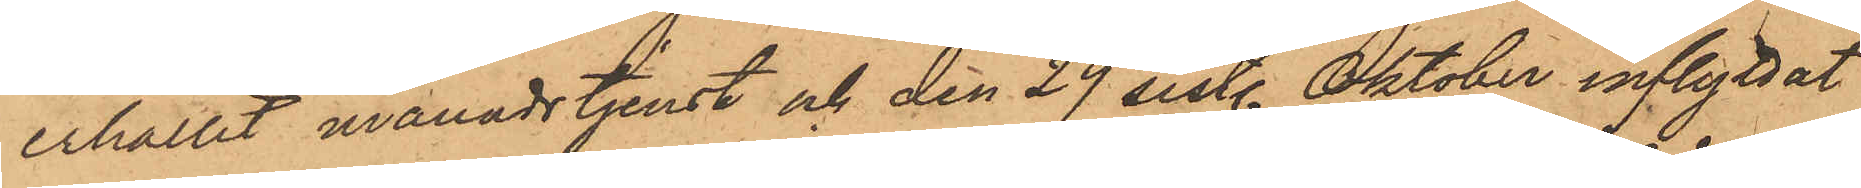erhållit månadstjenst och den 29 sistl. Oktober inflyttat
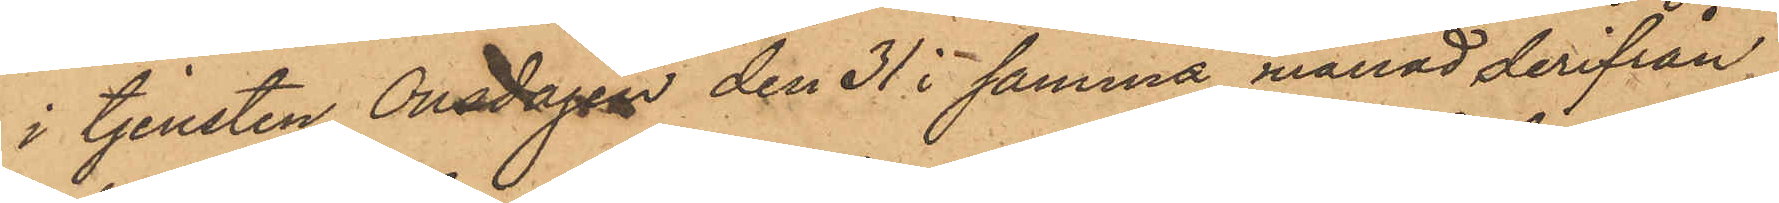i tjensten Onsdagen den 31 i samma månad derifrån
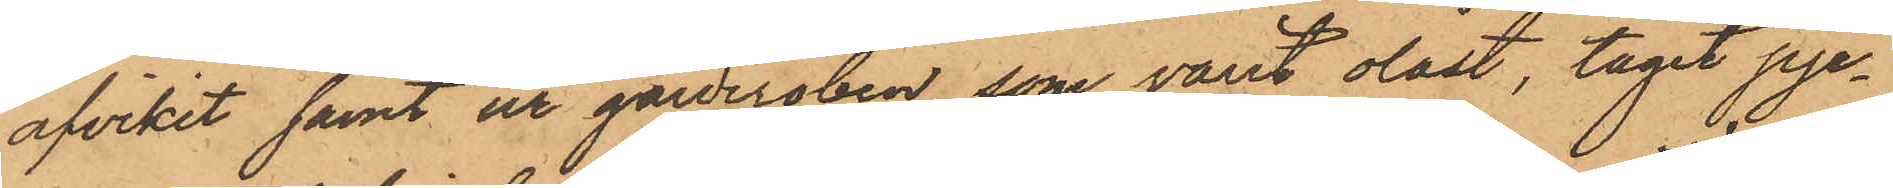afvikit samt ur garderoben, som varit olåst, tagit pje¬
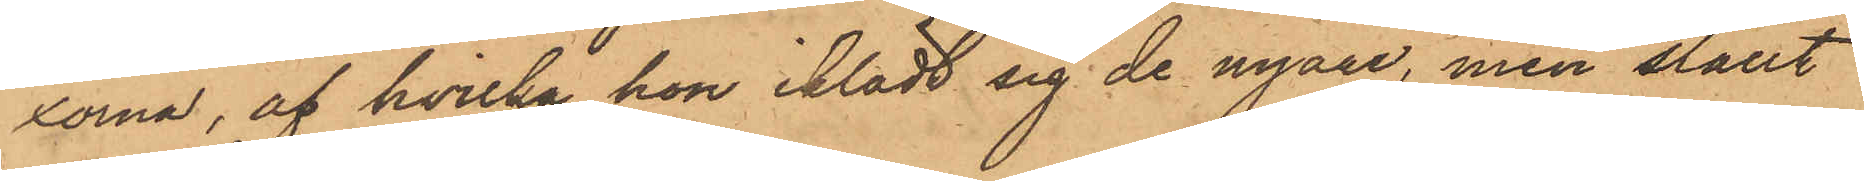xorna, af hvilka hon iklädt sig de nyare, men ställt
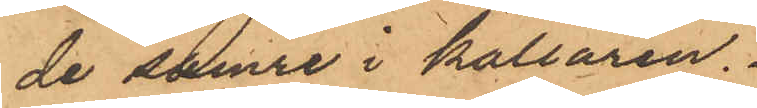de sämre i källaren.
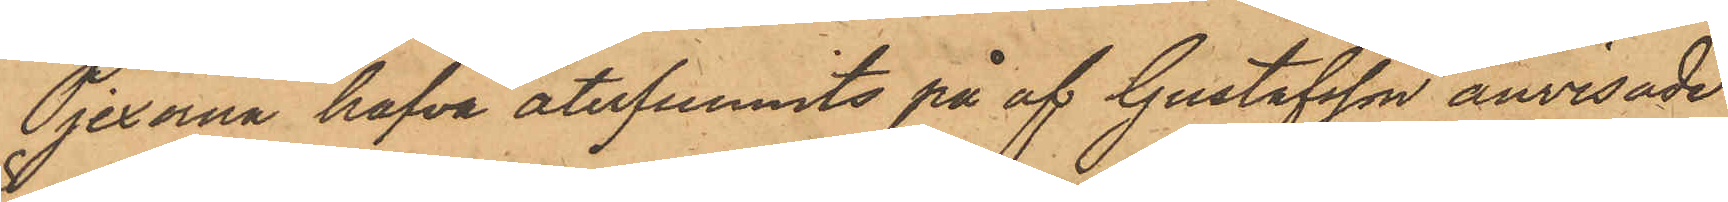Pjexorna hafva återfunnits på af Gustafsson anvisade
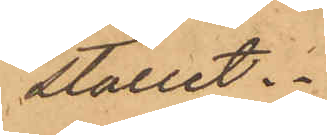stället.
